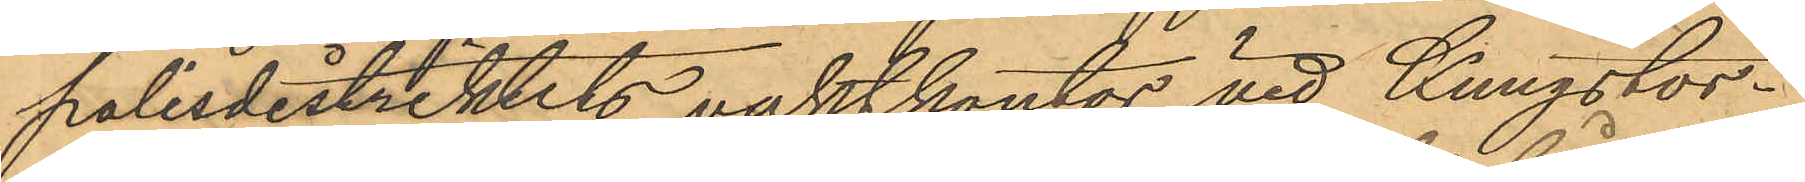polisdistriktets vaktkontor vid Kungstor¬
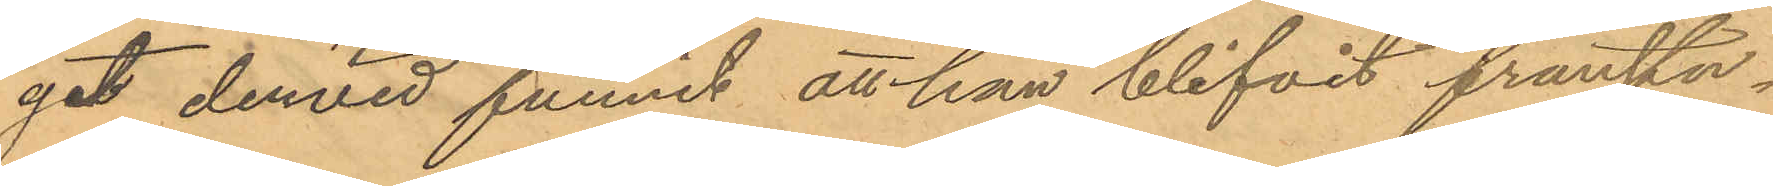get dervid funnit att han blifvit frånstu¬
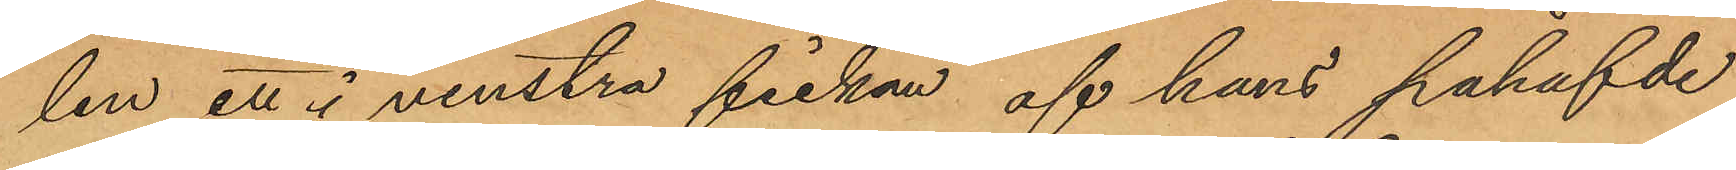len ett i venstra fickan af hans påhafvde
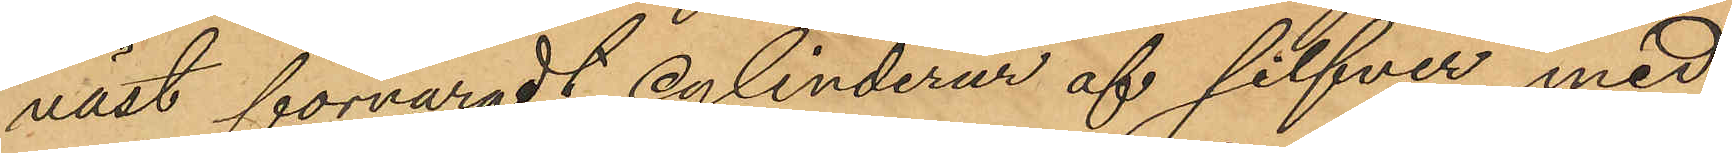väst förvaradt cylinderur af silfver med
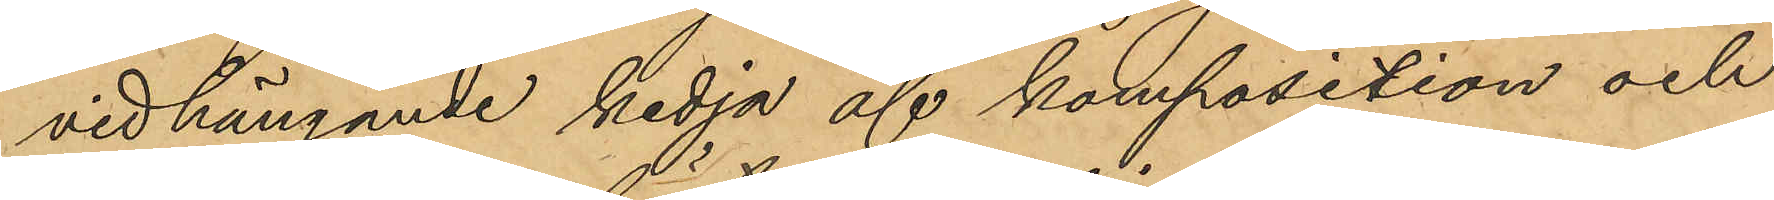vidhängande kedja af komposition och
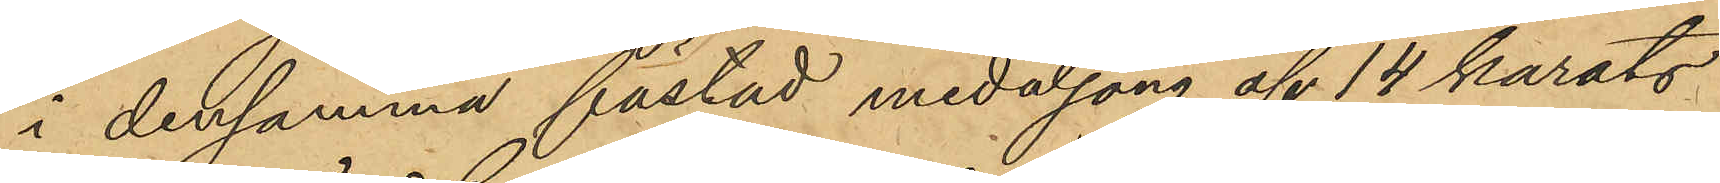i densamma fästad medaljong af 14 karats
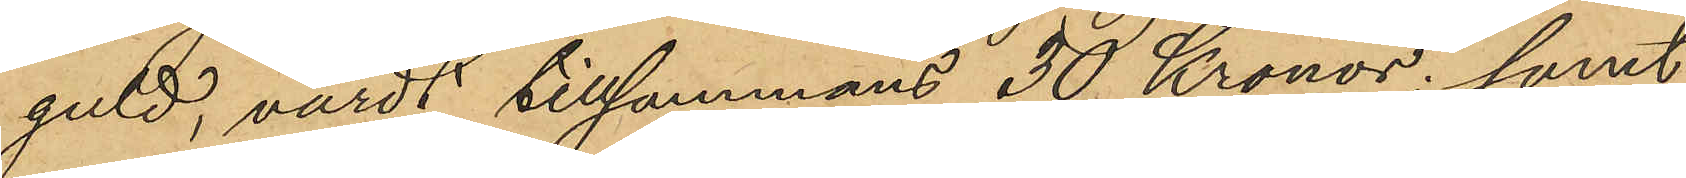guld, värdt tillsammans 30 Kronor; samt
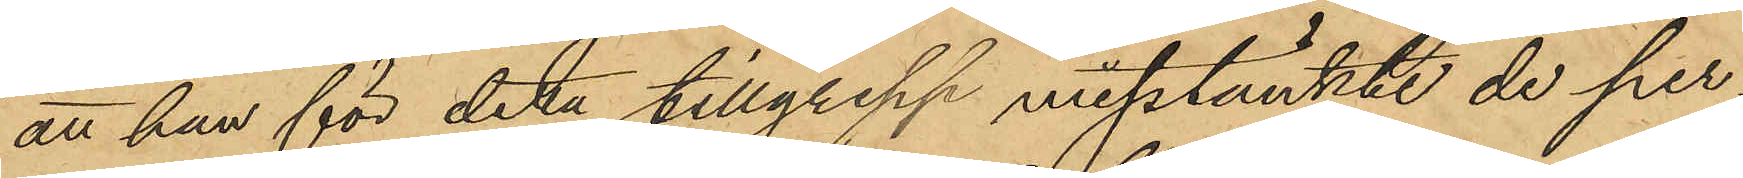att han för detta tillgrepp misstänkte de per¬
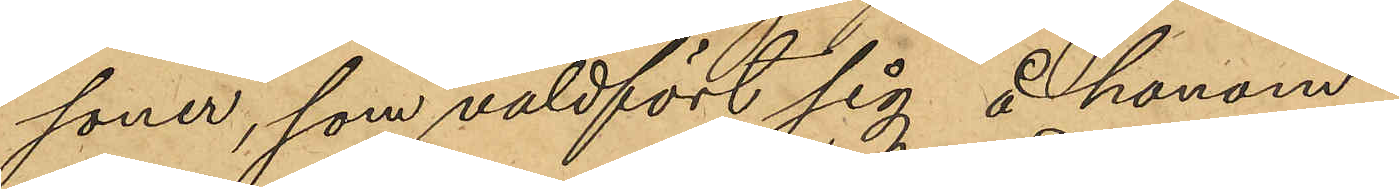soner, som våldfört sig å honom.
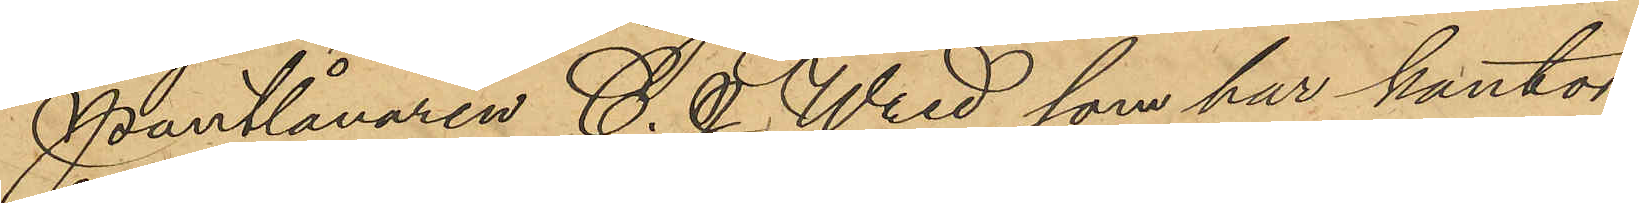Pantlånaren C. J. Wred, som har kontor
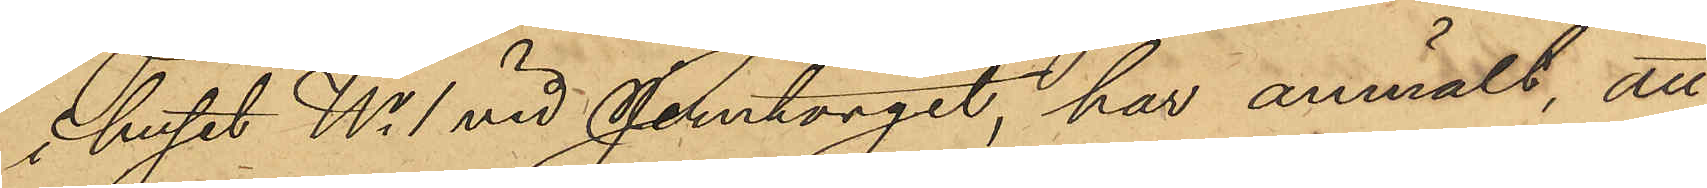i huset No 1 vid Jerntorget, har anmält, att
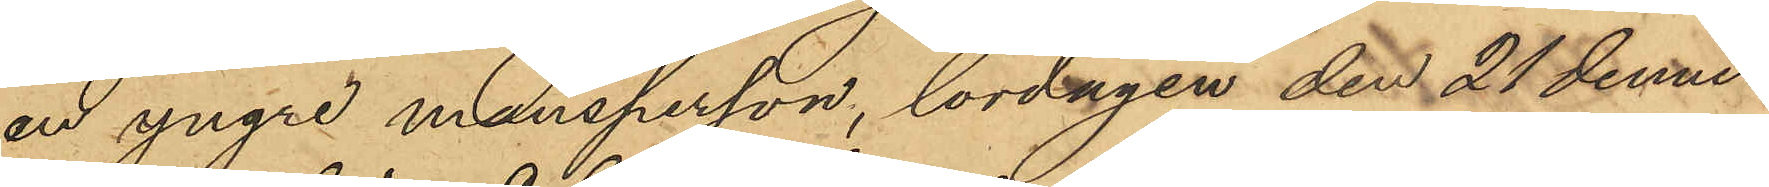en yngre mansperson, lördagen den 24 dennes
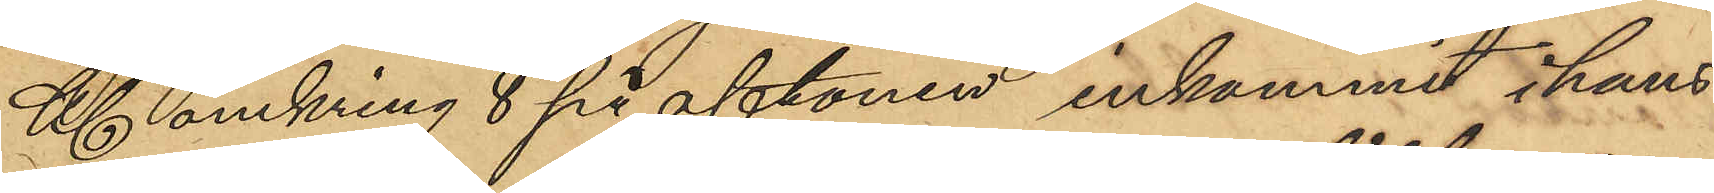Kl. omkring 8 på aftonen inkommit i hans
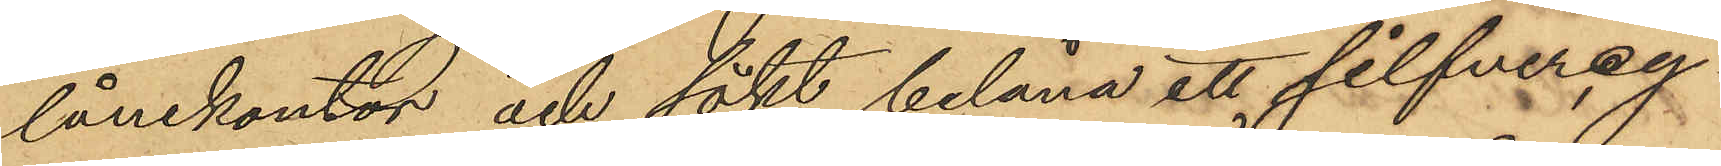lånekontor och sökt belåna ett silfvercy¬
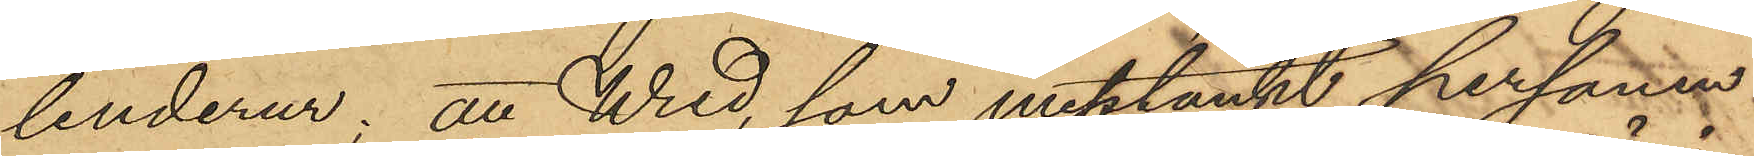linderur; att Wred, som misstänkt personen
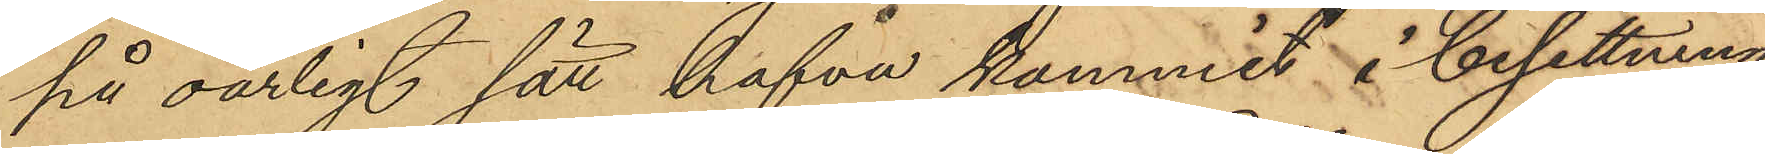på oärligt sätt hafva kommit i besittning
